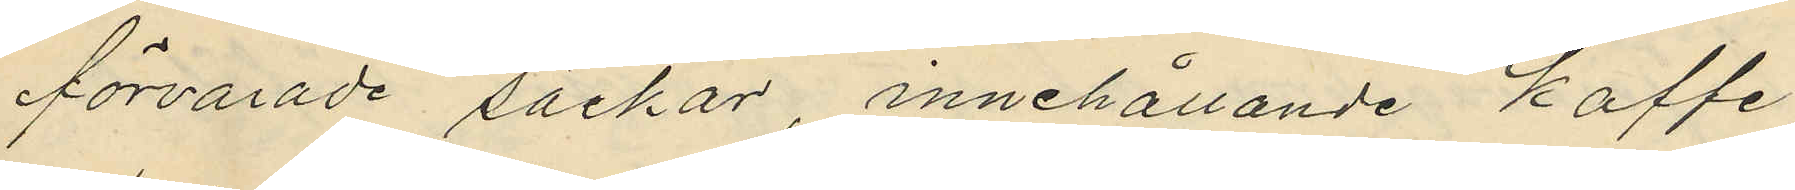förvarade säckar, innehållande kaffe,
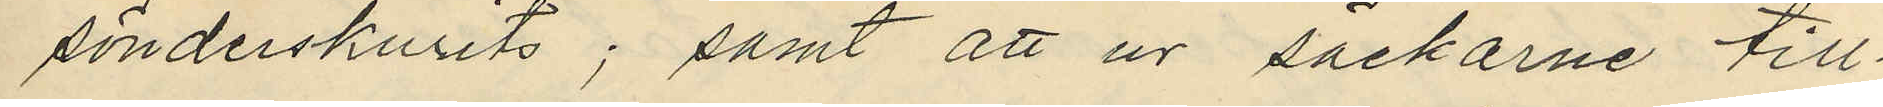sönderskurits; samt att ur säckarne till¬
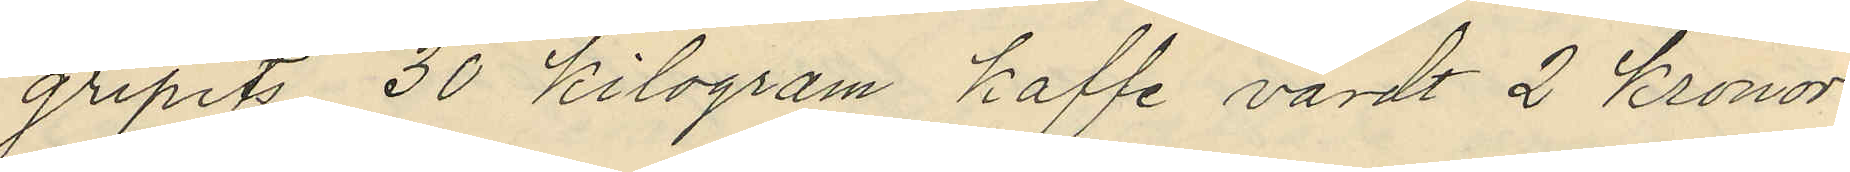gripits 30 kilogram kaffe värdt 2 Kronor
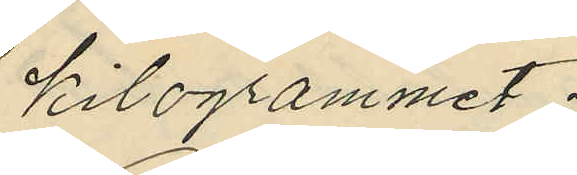kilogrammet;
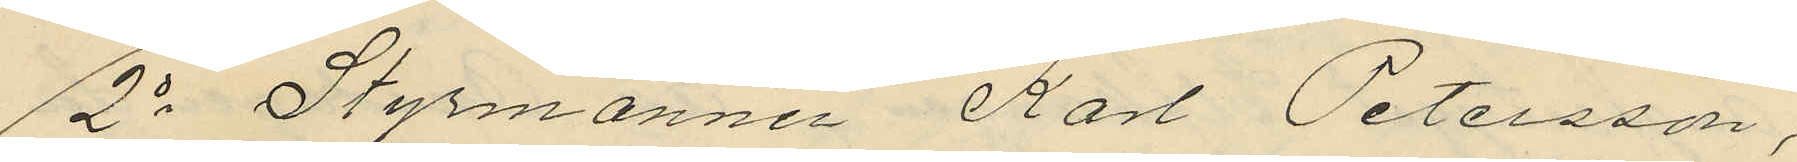2o Styrmannen Karl Petersson,
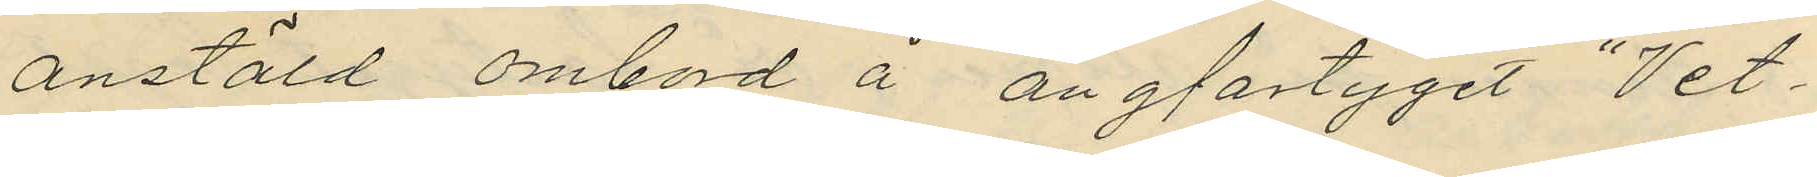anstäld ombord å ångfartyget "Vet¬
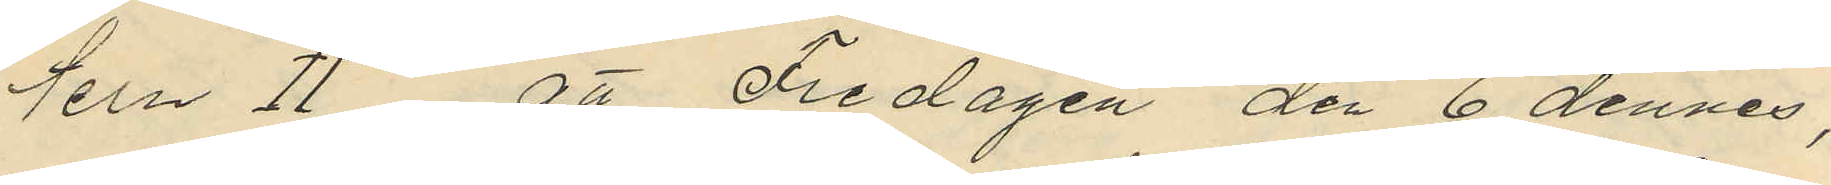tern II", att Fredagen den 6 dennes,
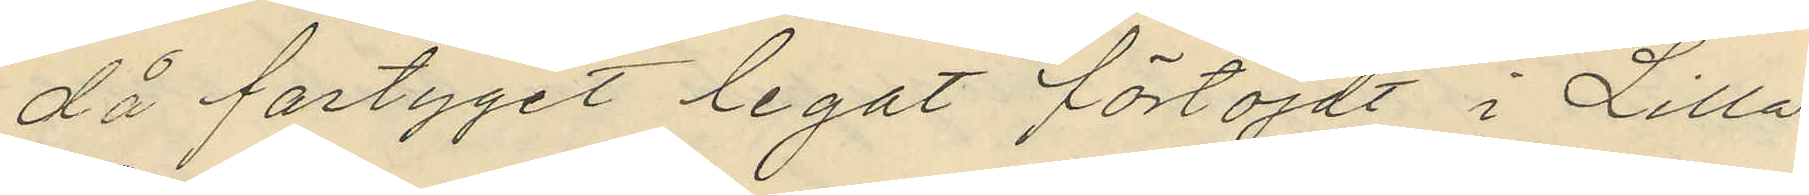då fartyget legat förtöjdt i Lilla
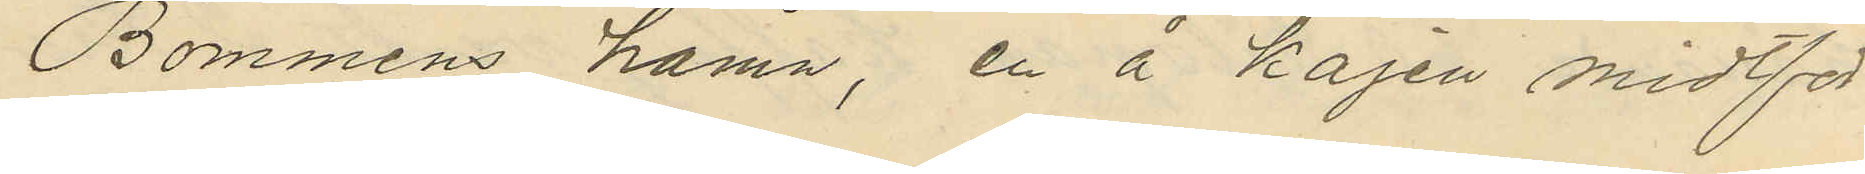Bommens hamn, en å kajen midtför
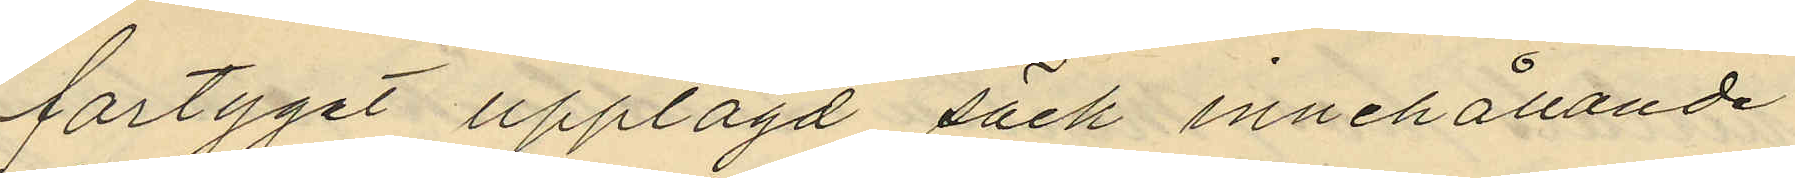fartyget upplagd säck innehållande
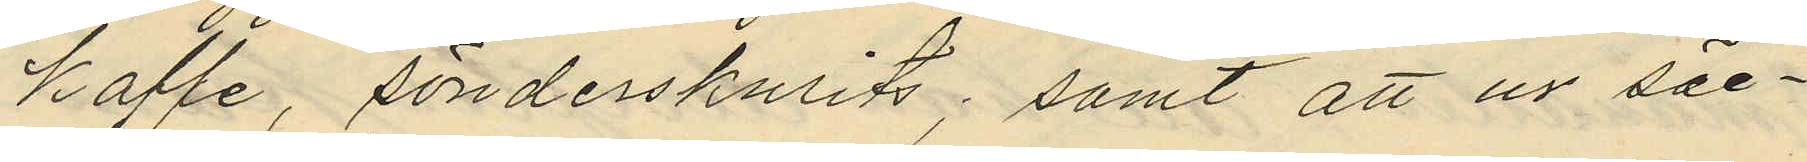kaffe, sönderskurits; samt att ur säc¬
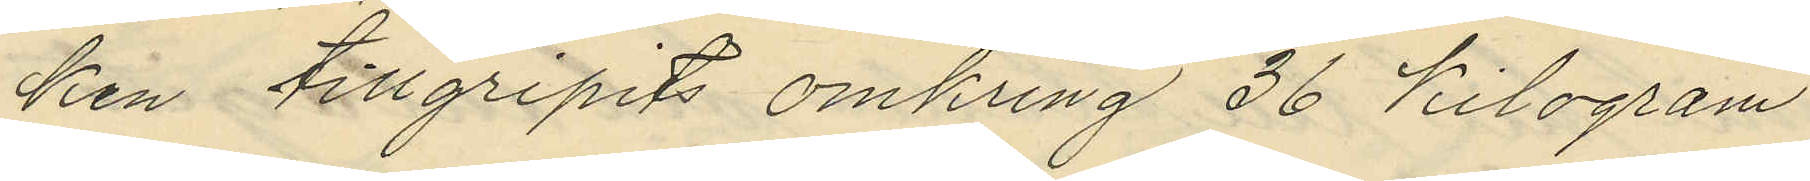ken tillgripits omkring 36 kilogram
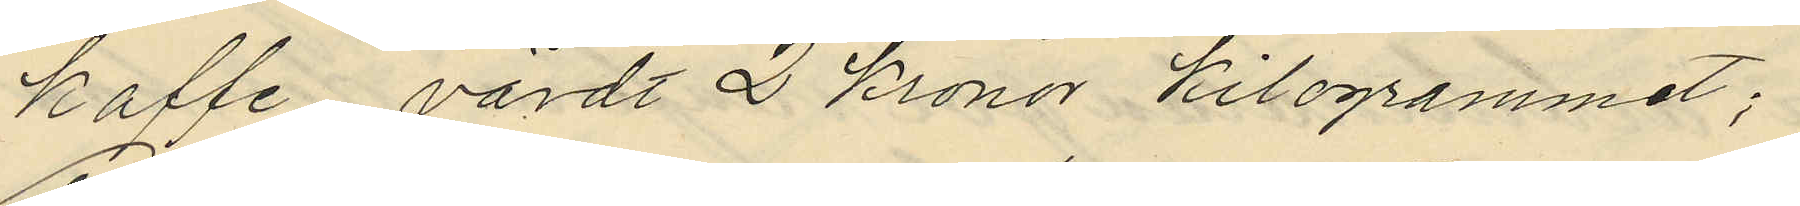kaffe värdt 2 kronor kilogrammet;
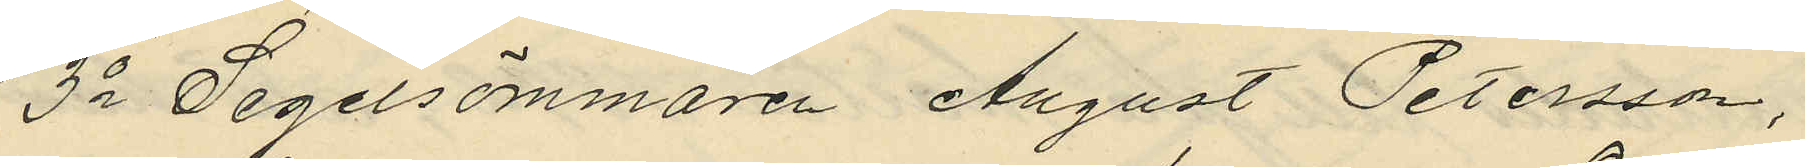3o Segelsömmaren August Petersson,
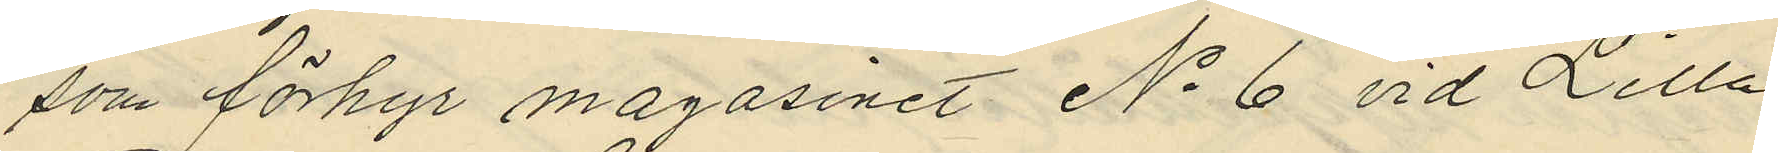som förhyr magasinet No 6 vid Lilla
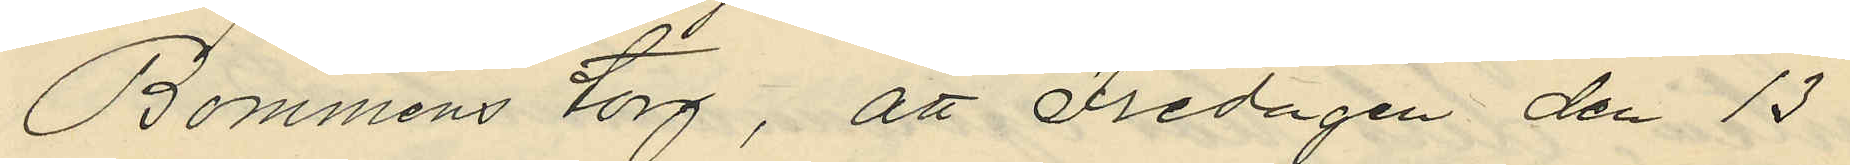Bommens torg, att Fredagen den 13
